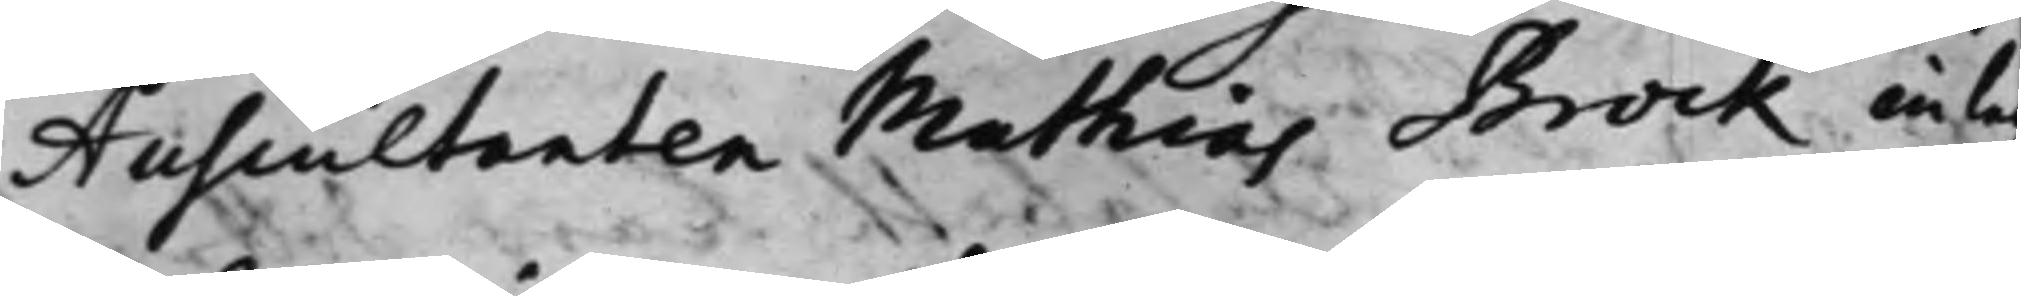Auscultanten Mathias Brock inlag¬
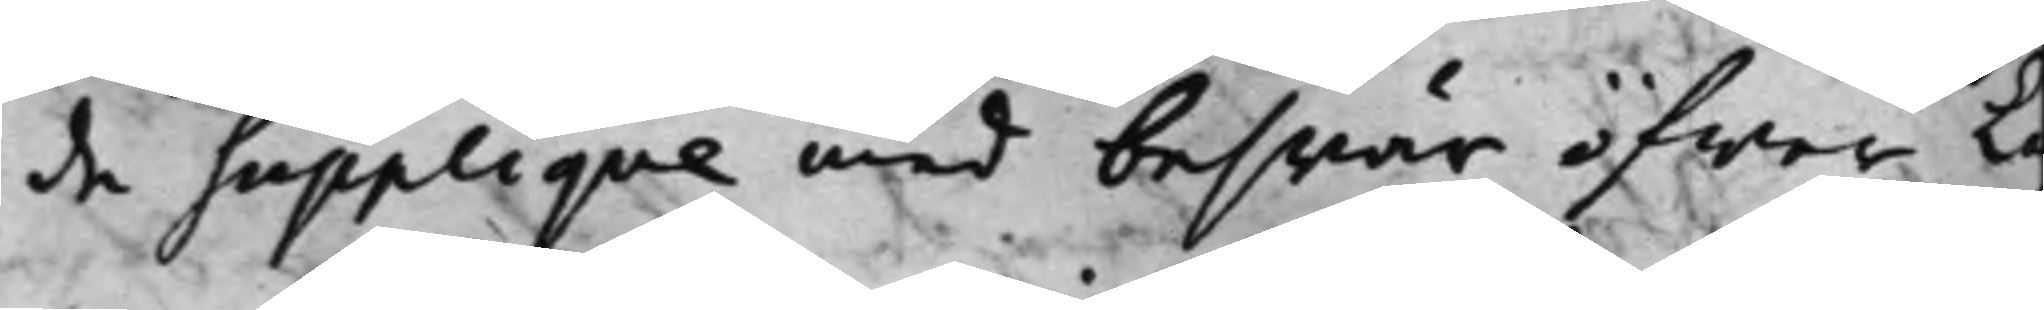de Supplique med beswär öfwer La
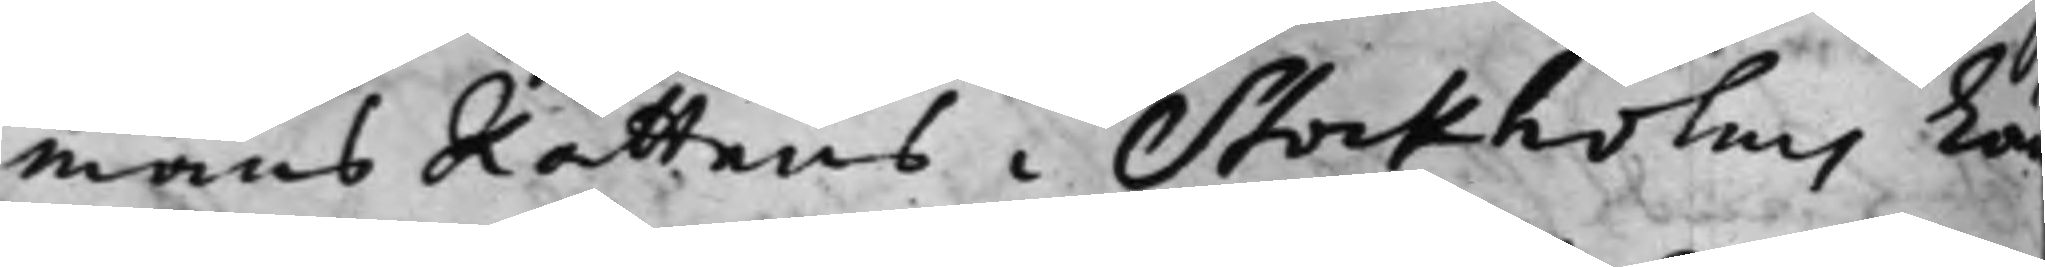mans Rättens i Stockholms La
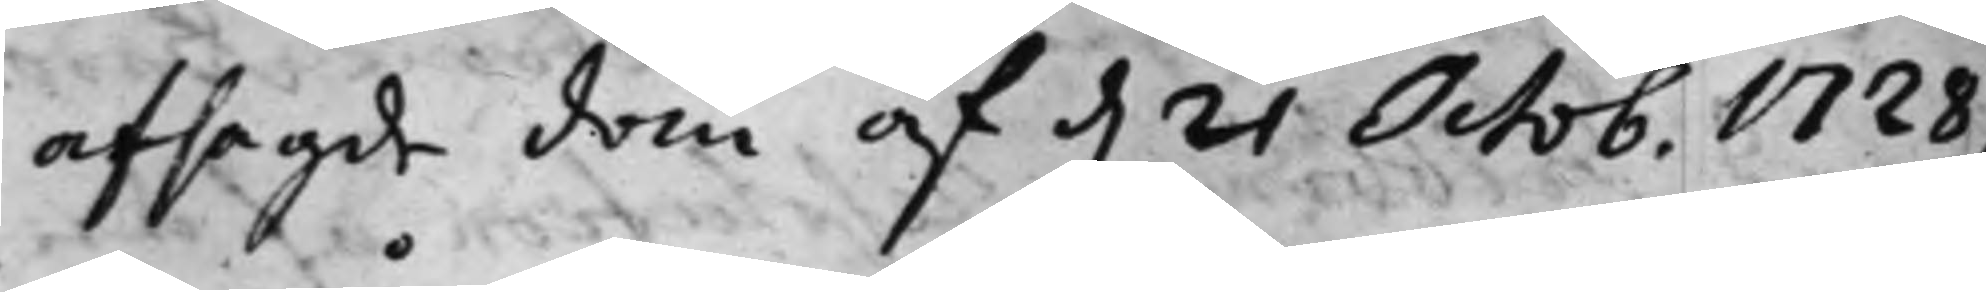afsagde dom af d. 21 Octob. 1728,
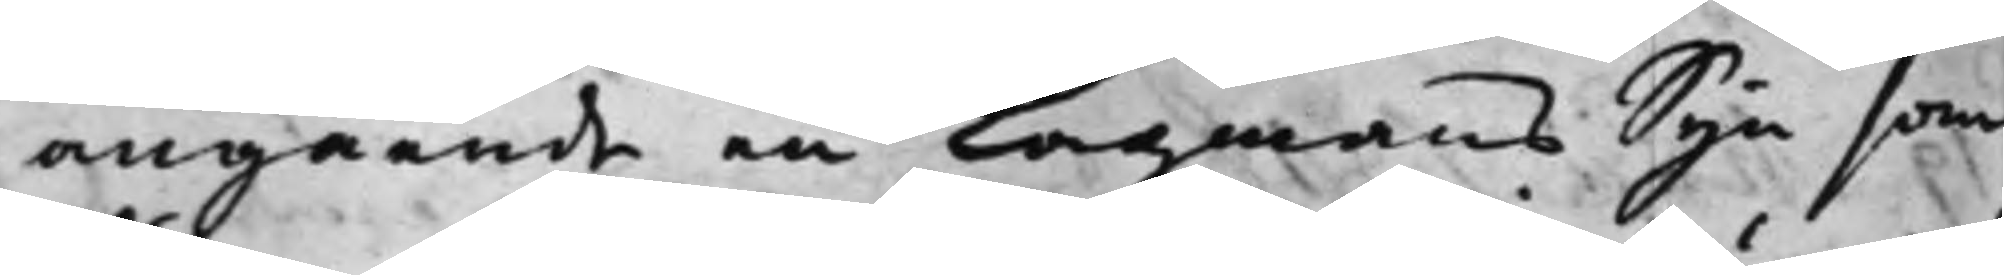angående en Lagmans Syn som
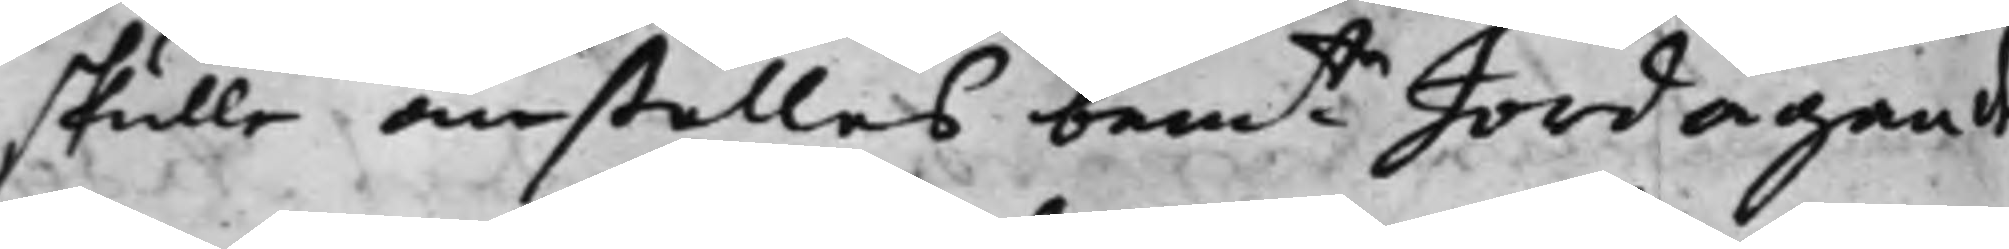skulle anställas bemte Jordägande¬
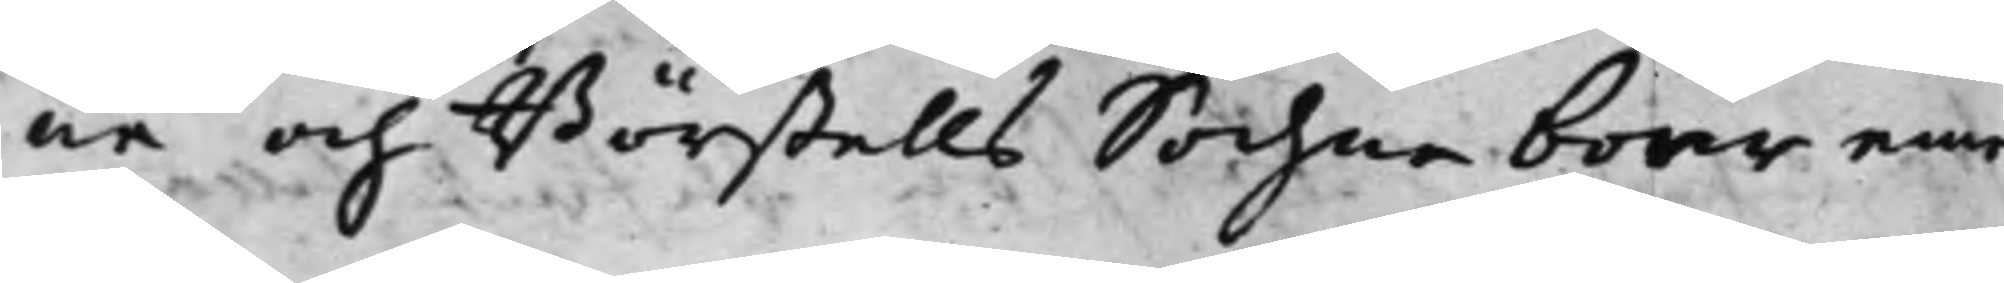ne och Börstells Sochneboer eme
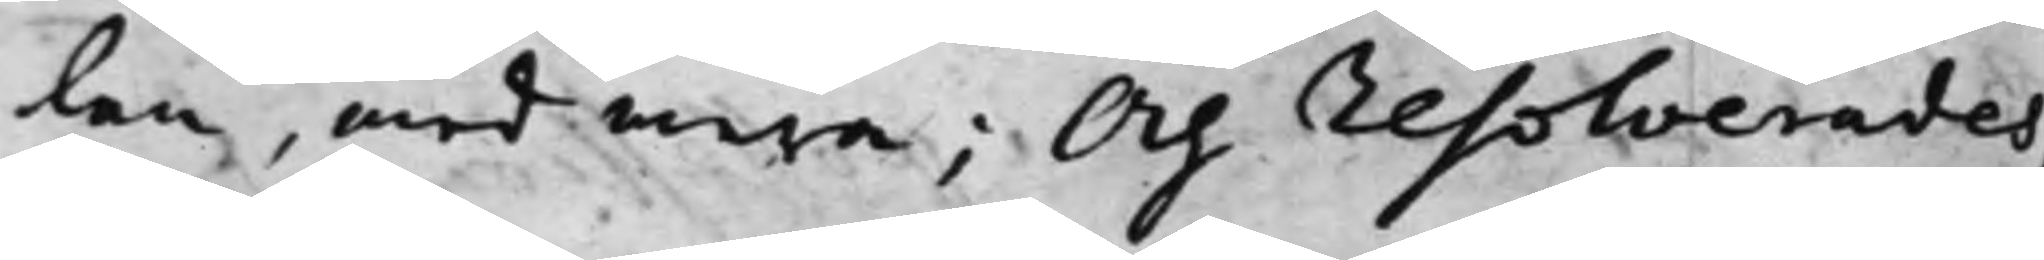lan, med mera; Och resolverades,
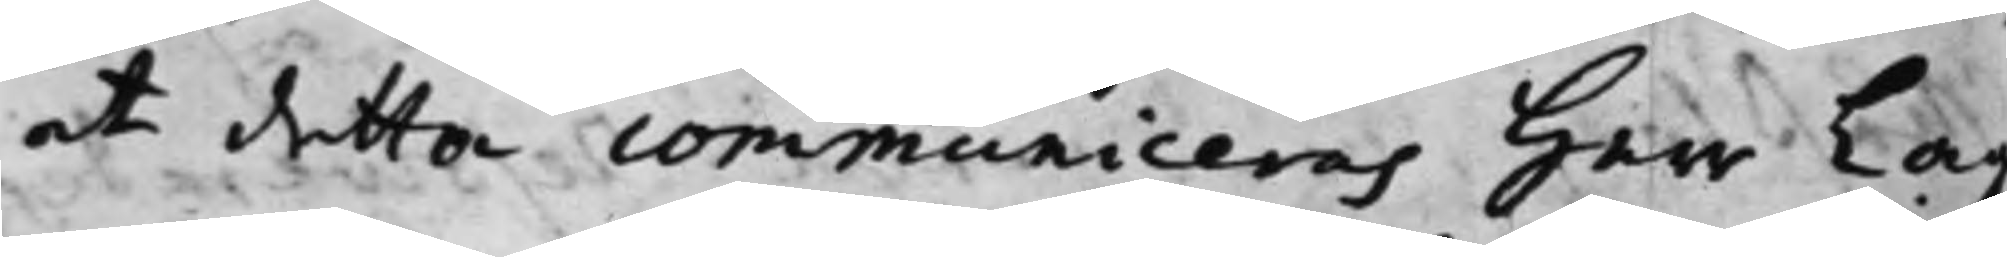at detta communiceras Herr Lag¬
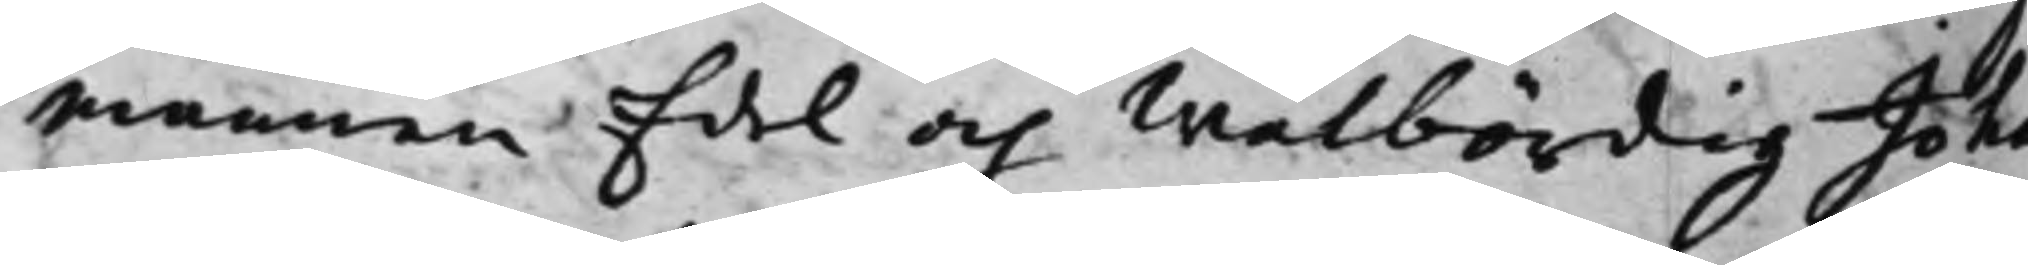mannen Edel och Wälbördig Joha
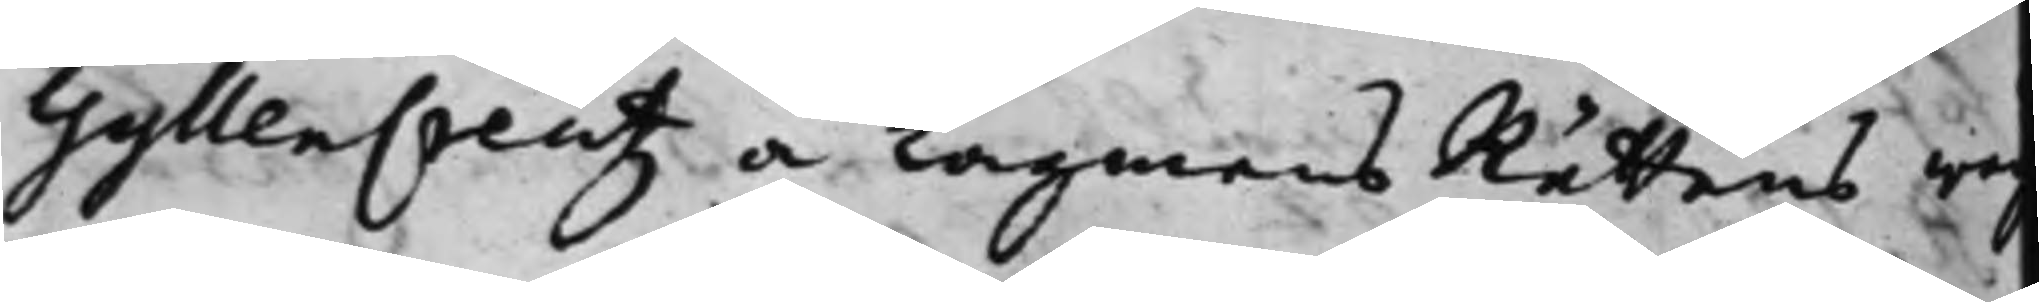GyllenCreutz å LagmansRättens wa¬
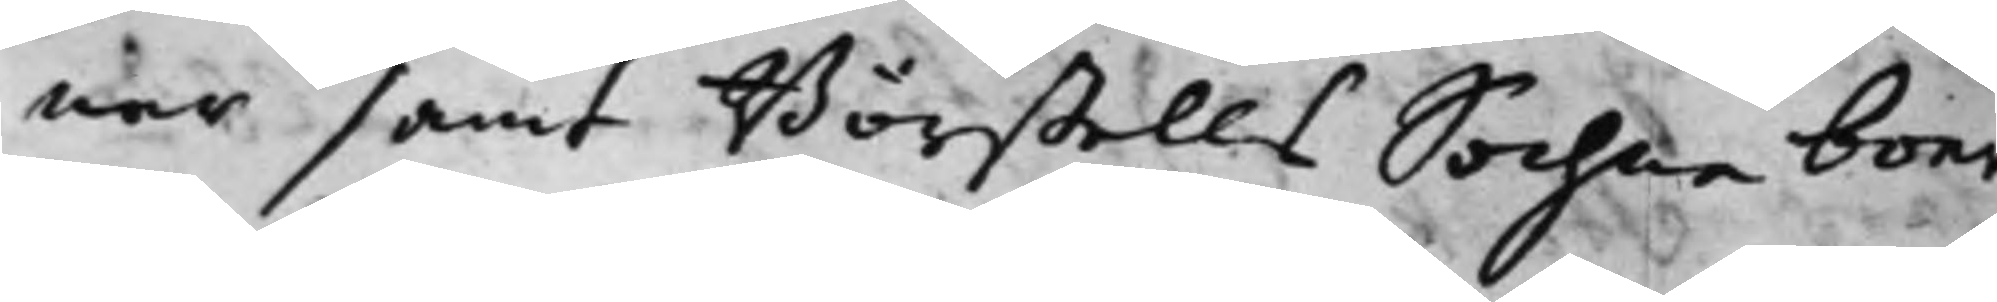nar samt Börstells Sochne boer
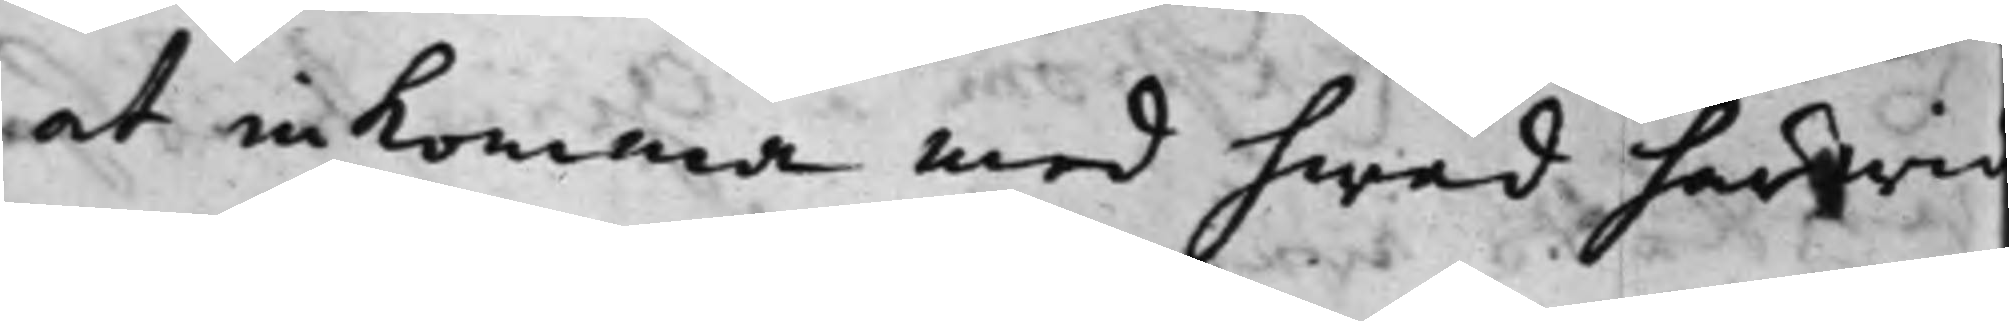at inkomma med hwad härwid
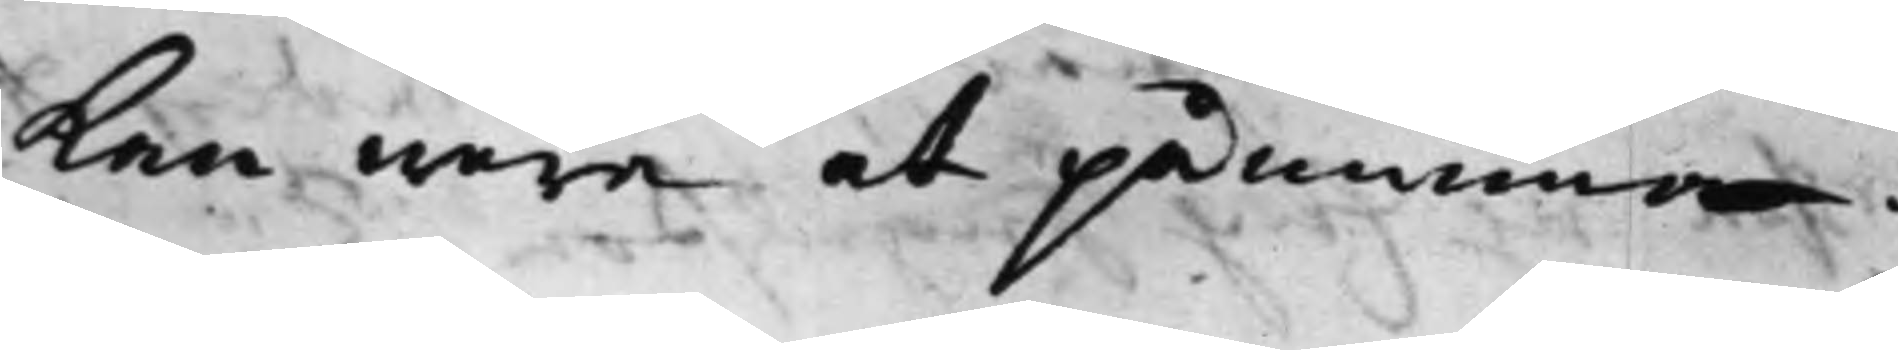kan wara at påminna.
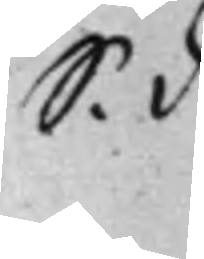S. d
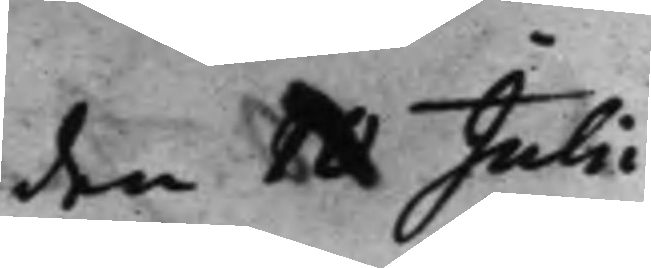den 10 Julii
